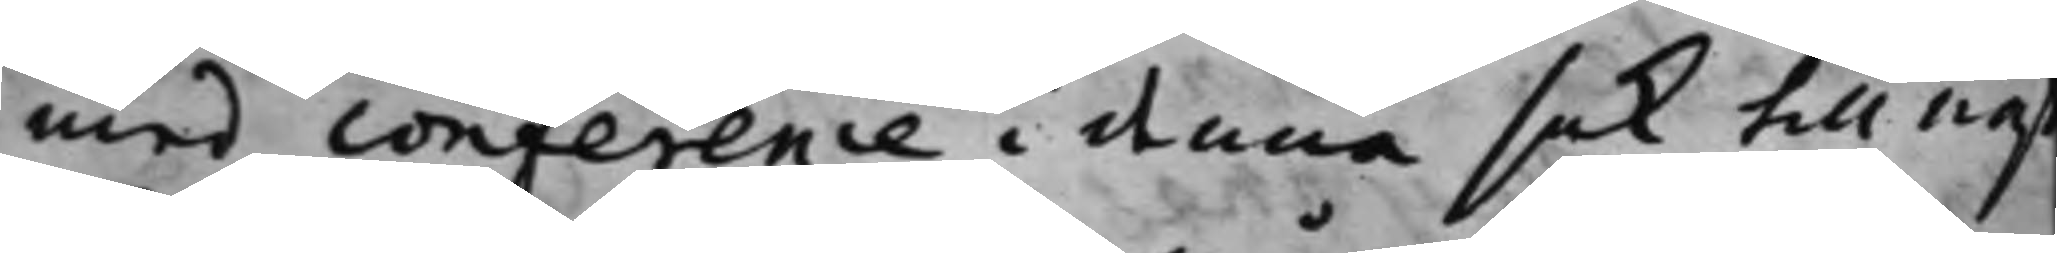med conference i denna sak till näst¬
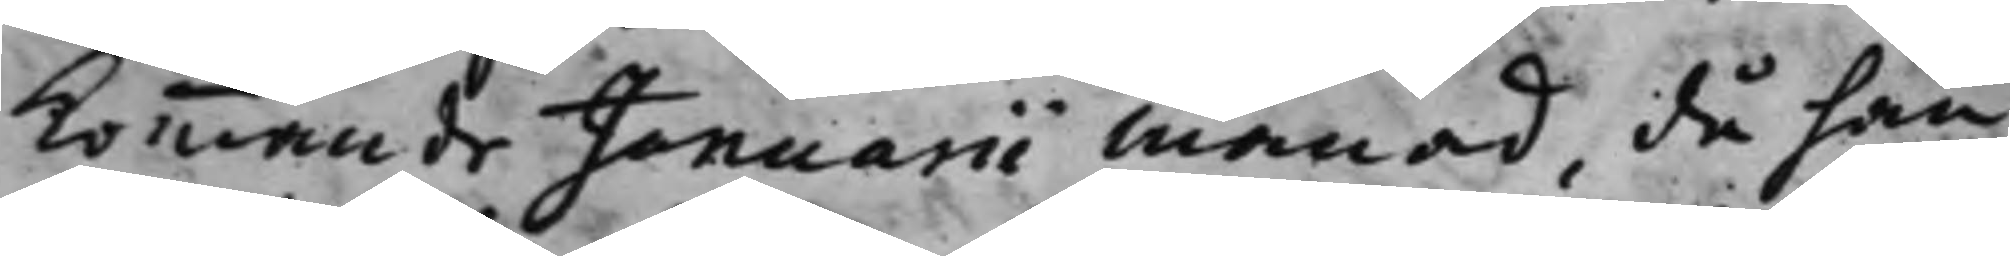kommande Januarii månad, då han
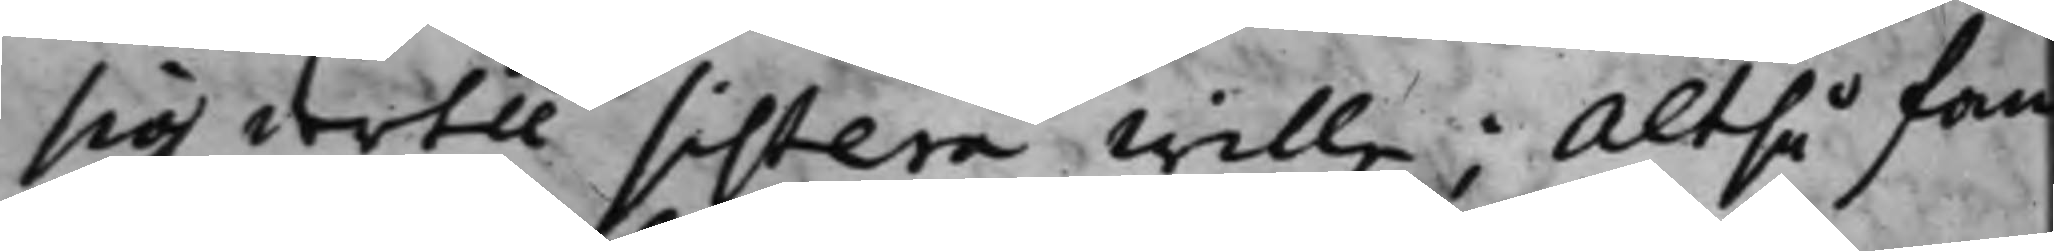sig dertill sistera wille; Altså fan
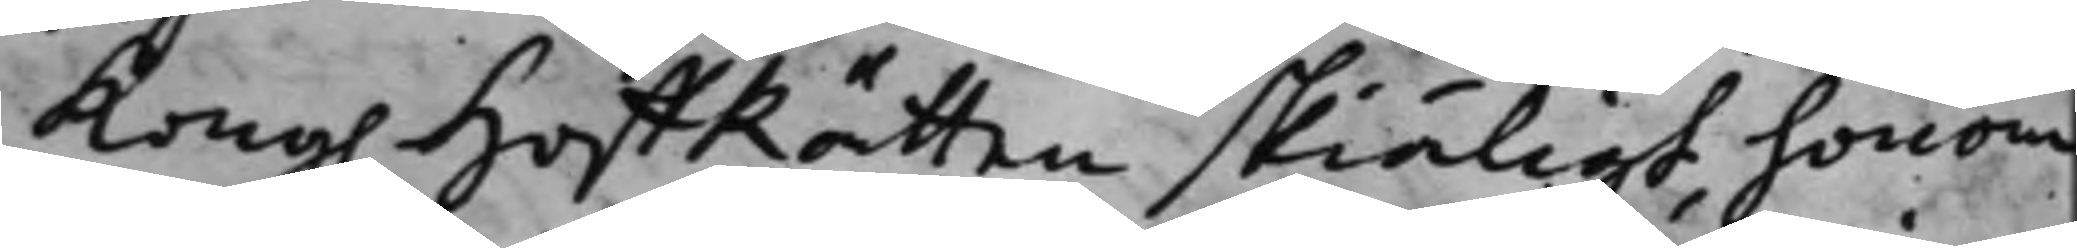Kong. HoffRätten skiäligt, honom
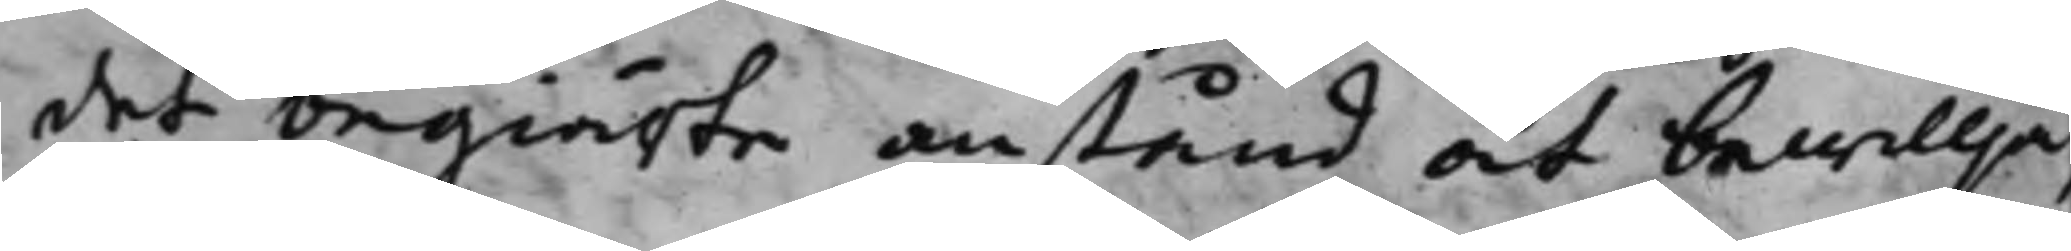det begiärte anstånd at bewillja,
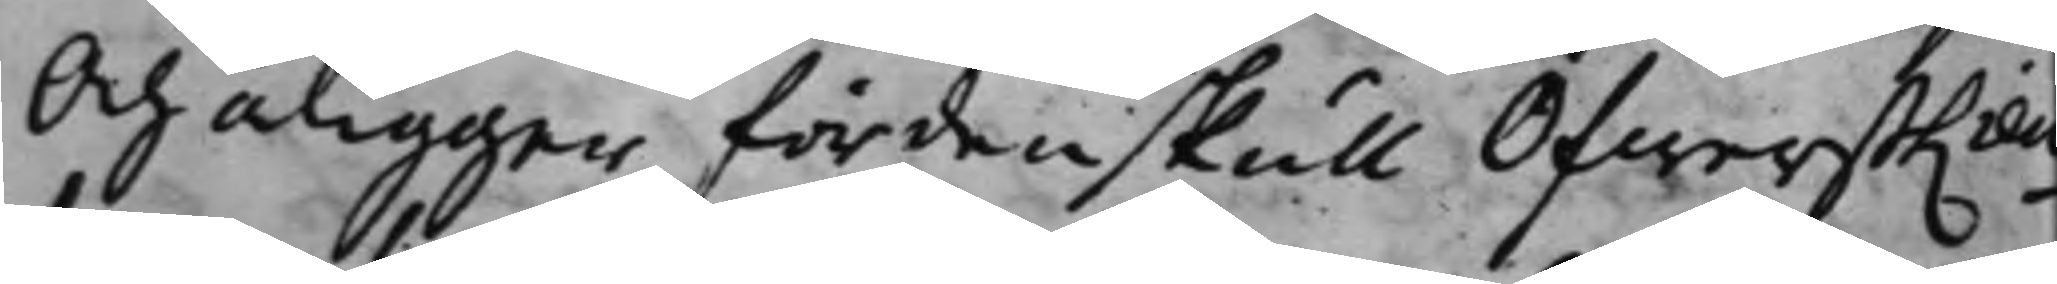Och åligger fördenskull ÖfwerstLieu¬
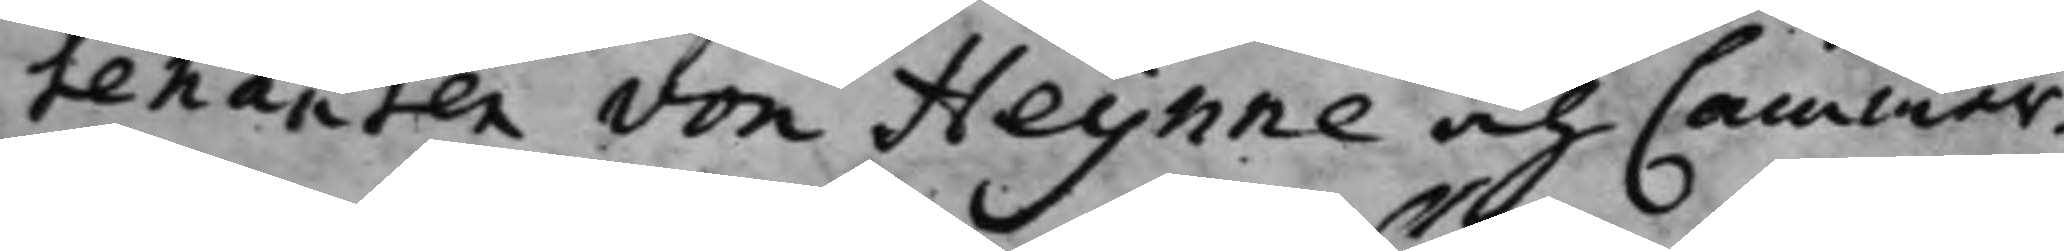tenanten von Heijnne och Cammar¬
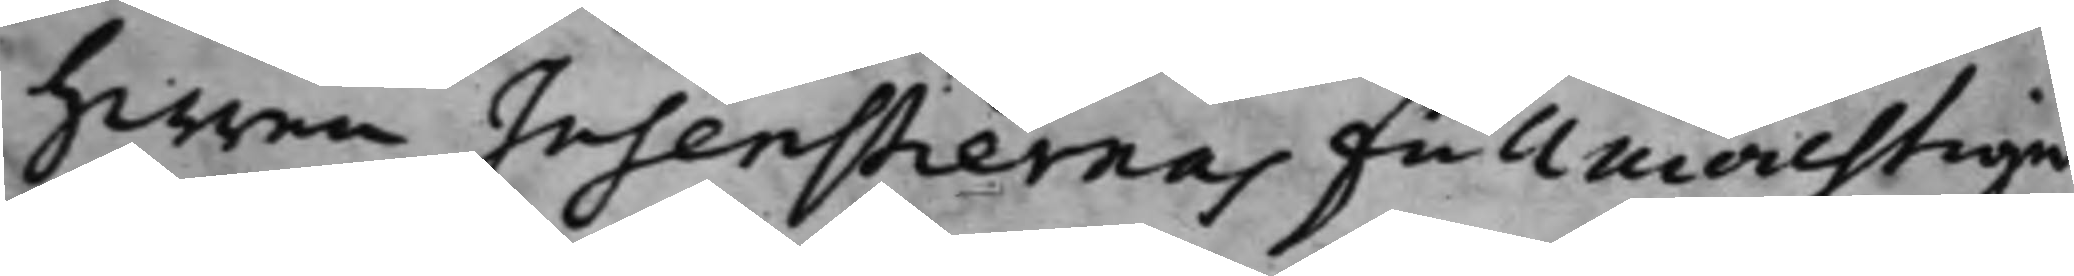Herren Insenstiernas Fullmächtige
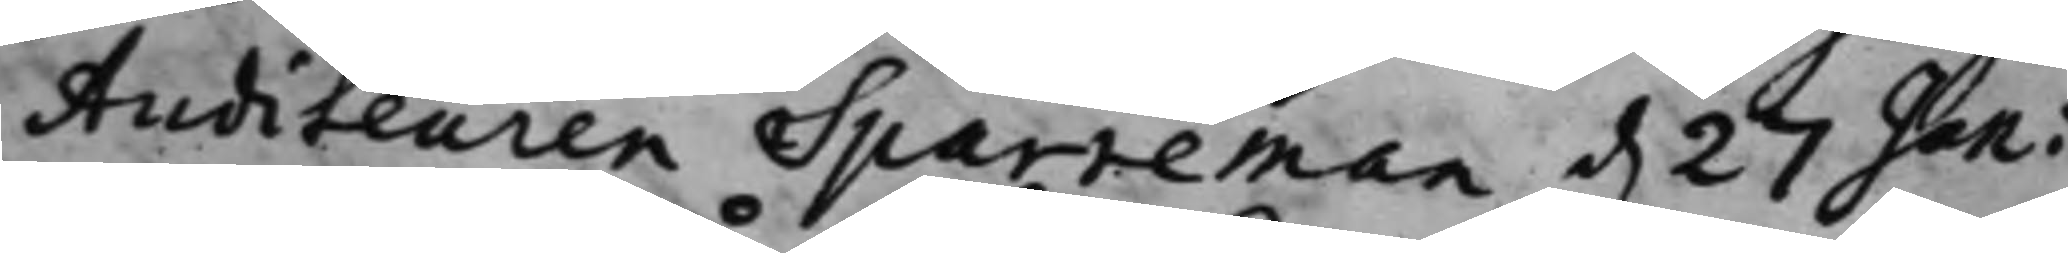Auditeuren Sparreman d. 27 Jan i
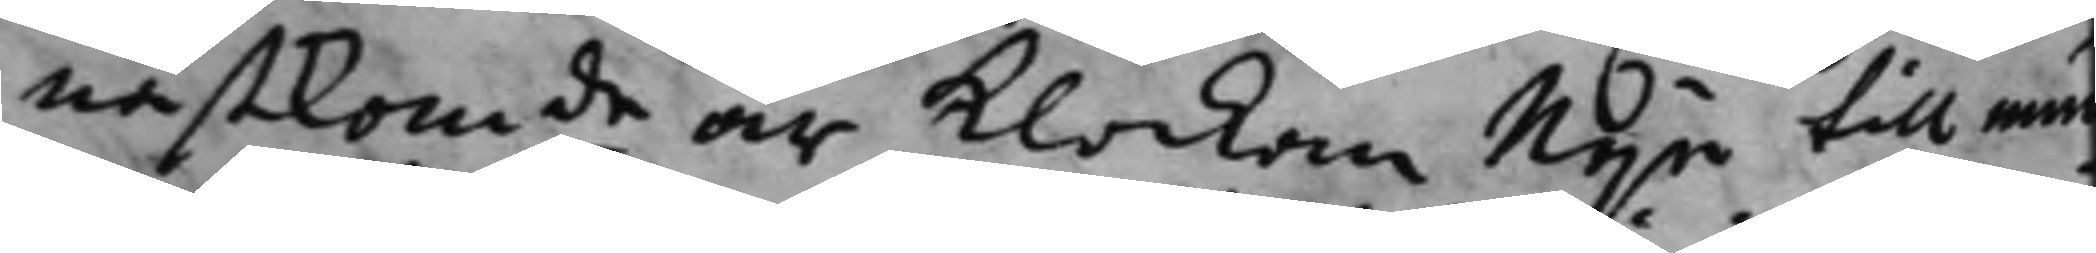nästkomde år klockan Nije till mun¬
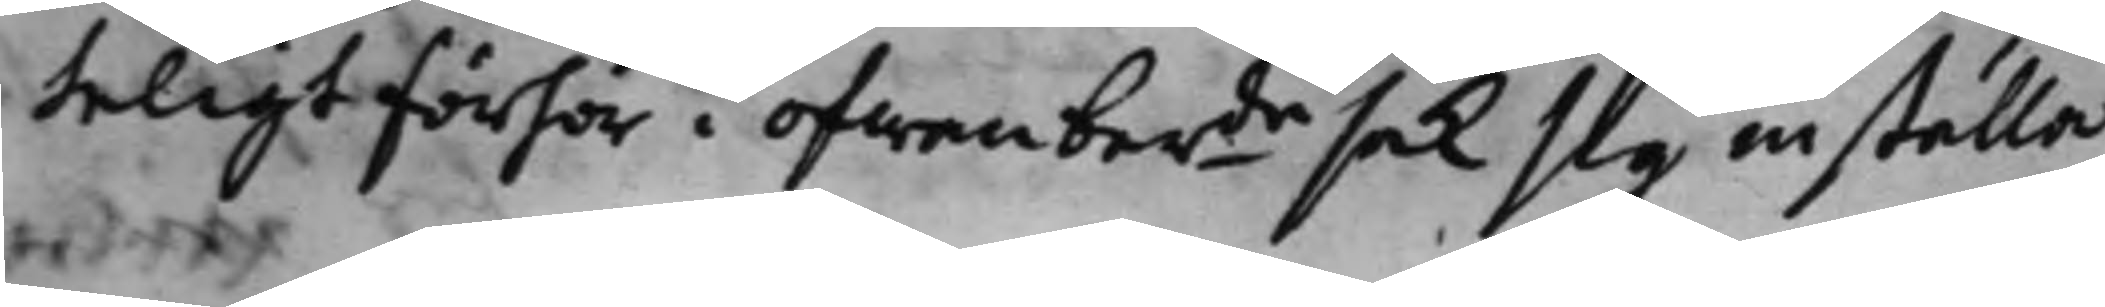teligt förhör i ofwanberde sak sig inställa
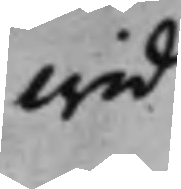wid
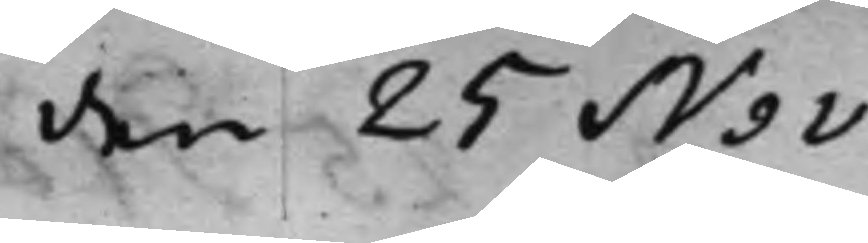den 25 Nov.
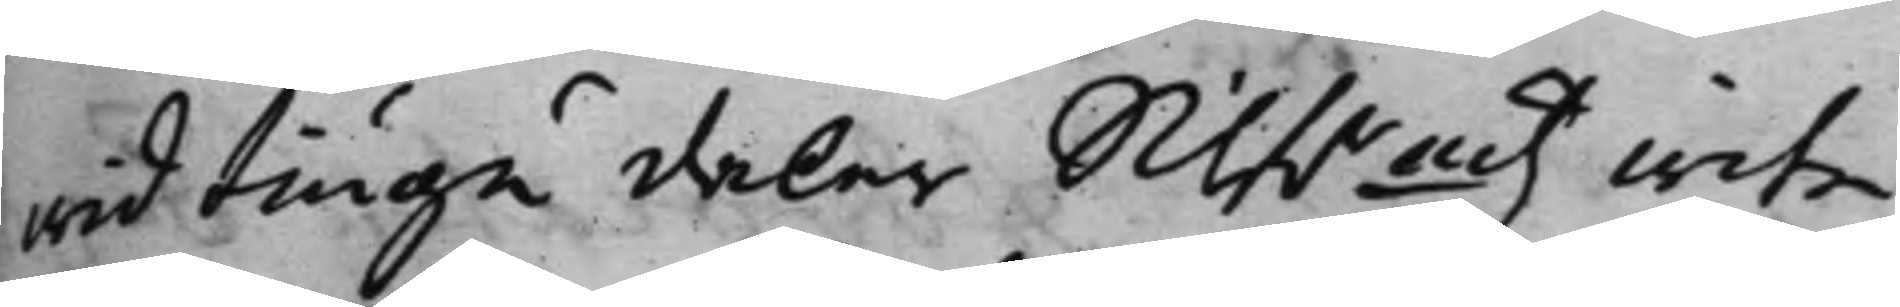wid tiugu daler Silf.rmtz wite.
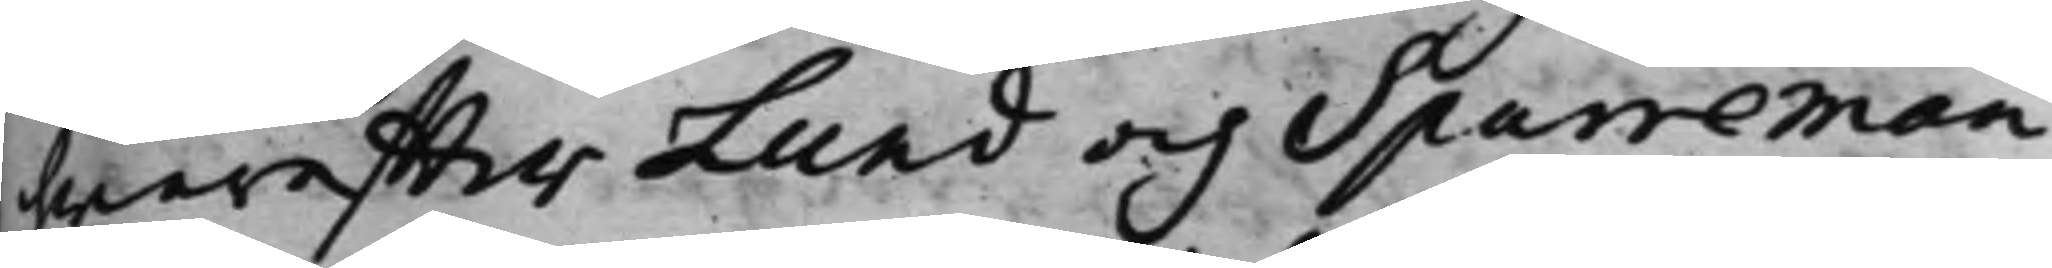hwareffter Lund och Sparreman
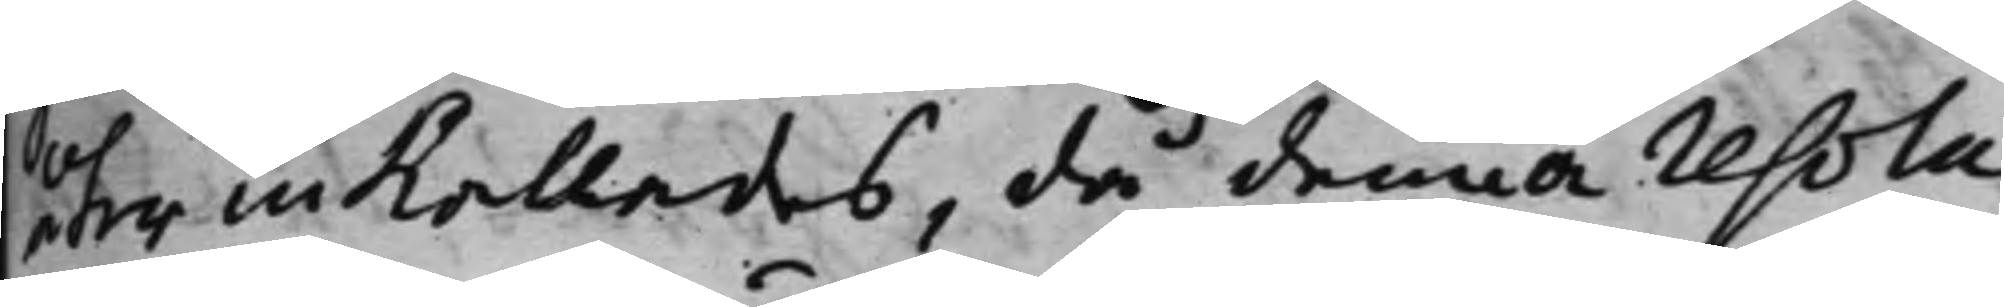ter inkallades, då denna resolu¬
